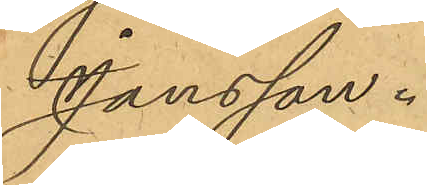Jansson.
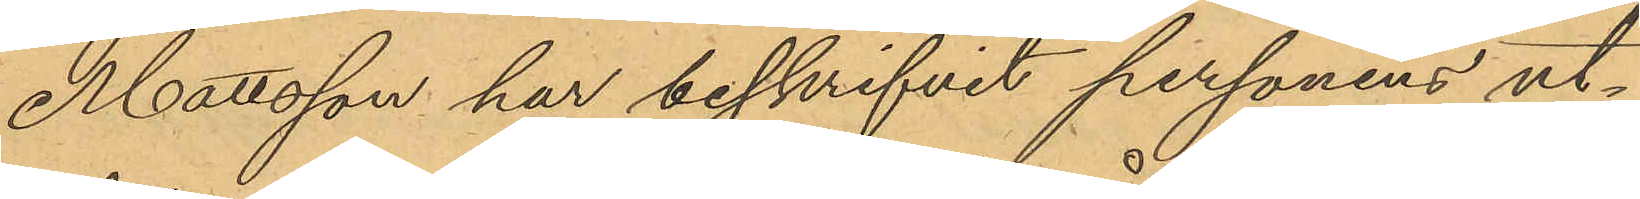Mattsson har beskrifvit personens ut¬
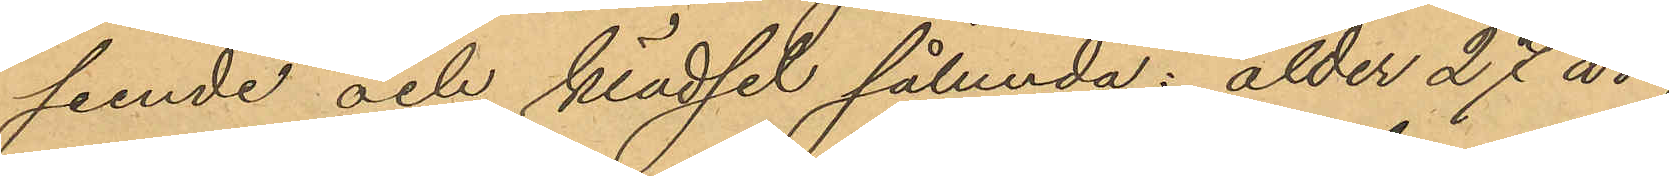seende och klädsel sålunda: ålder 27 år
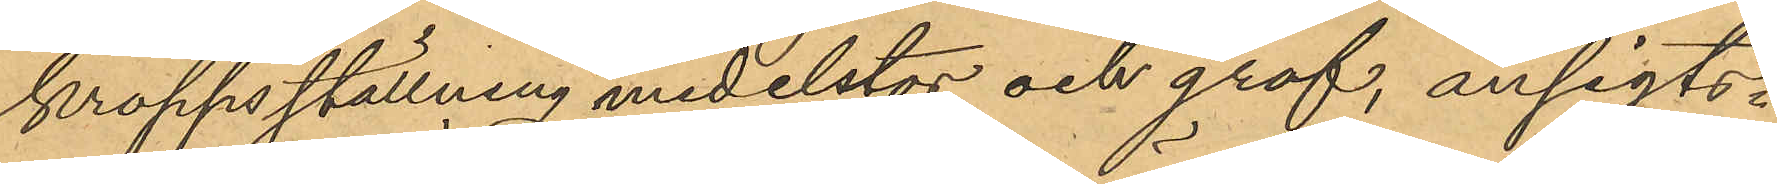kroppsställning medelstor och grof, ansigts¬
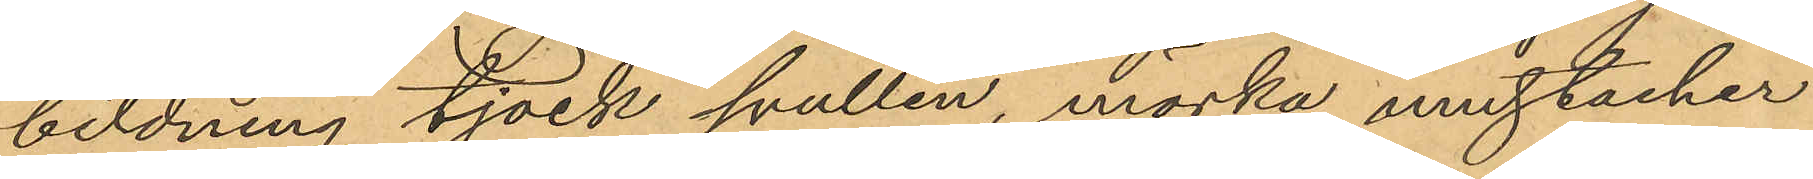bildning tjock svullen, mörka mustacher
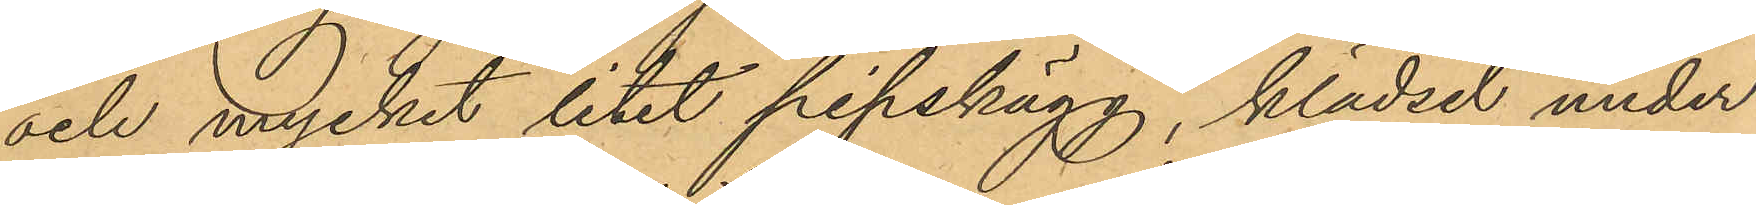och mycket litet pipskägg, klädsel under
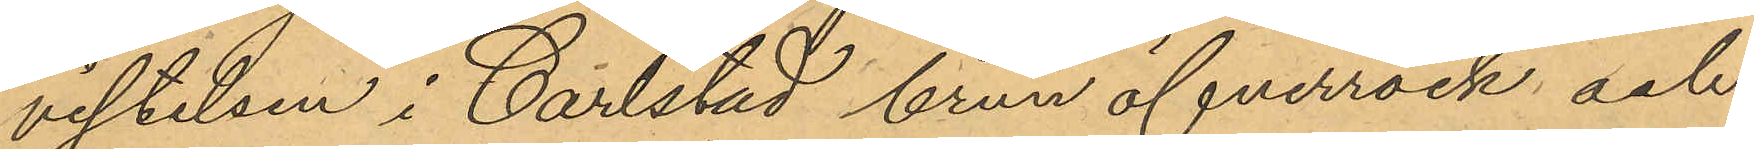vistelsen i Carlstad brun öfverrock och
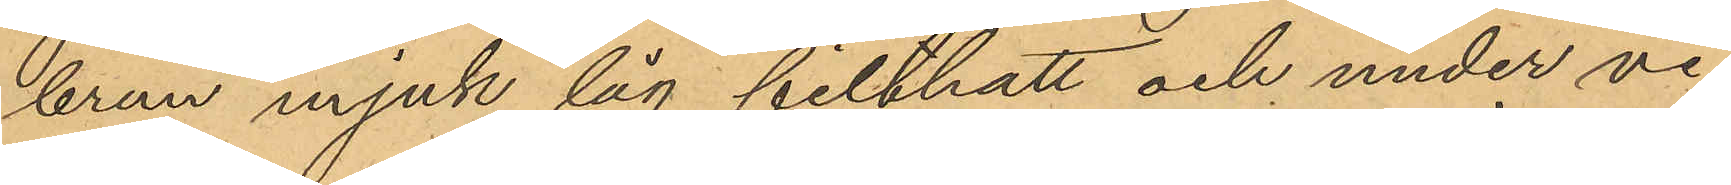brun mjuk låg filthatt och under vi¬
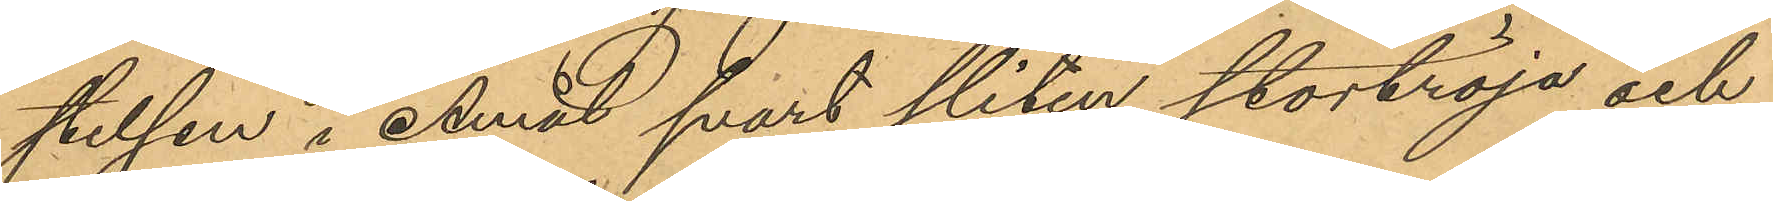stelsen i Åmål svart sliten stortröja och
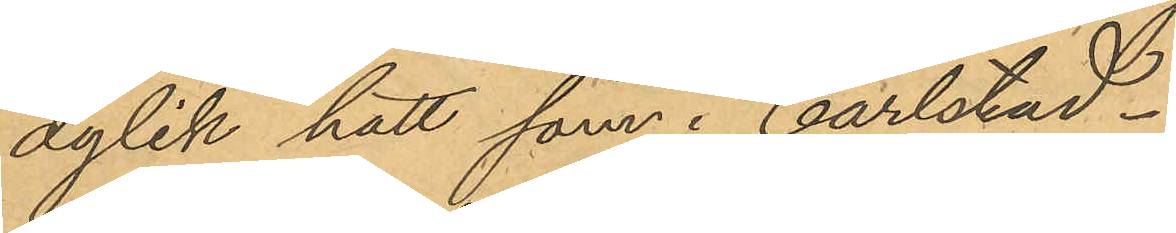dylik hatt som i Carlstad.
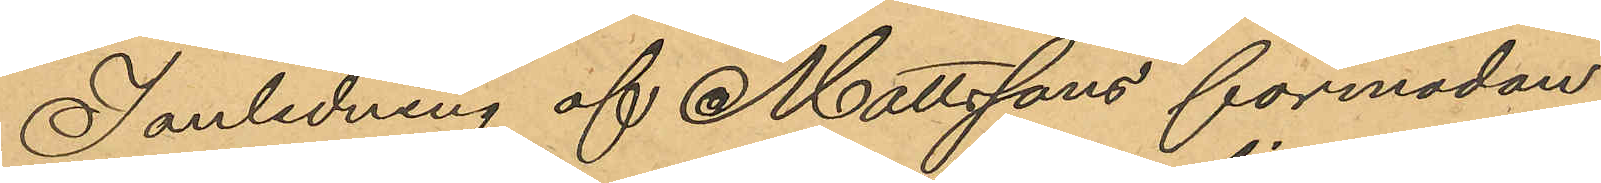I anledning af Mattssons förmodan
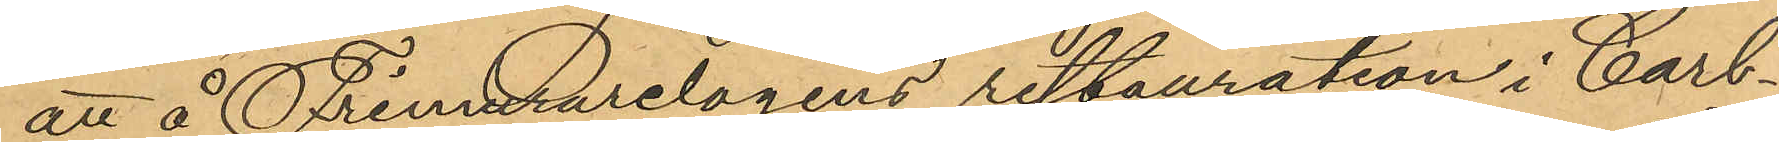att å Frimurarelogens restauration i Carl¬
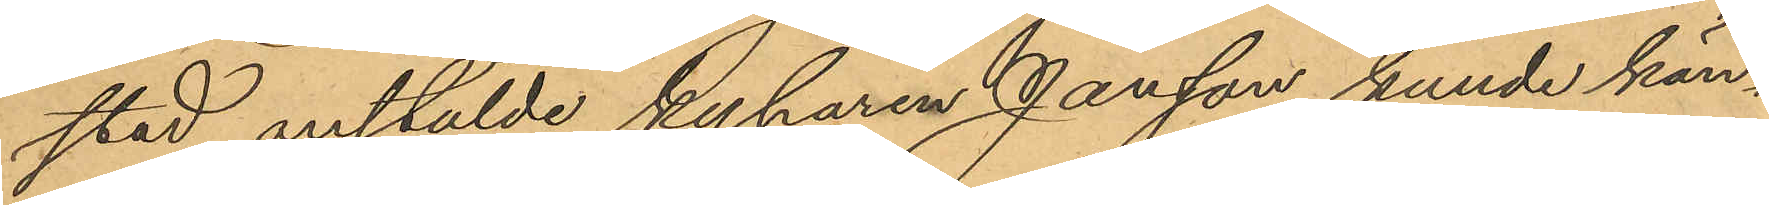stad anstälde kyparen Jansson kunde kän¬
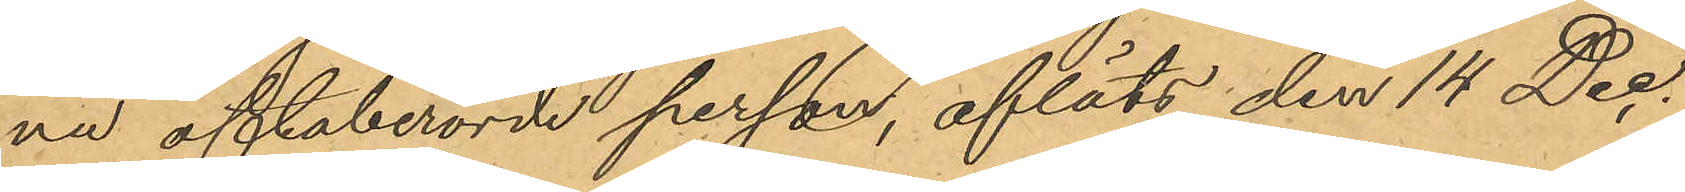na oftaberörde person, afläts den 14 Dec.
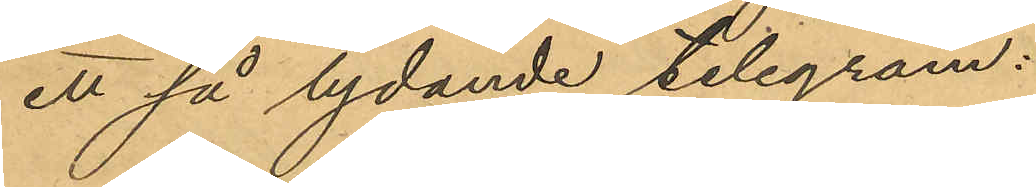ett så lydande telegram:
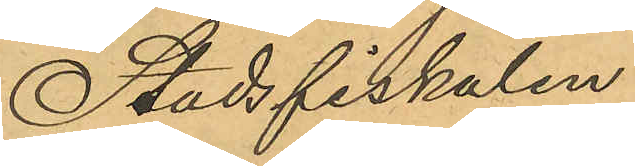"Stadsfiskalen
